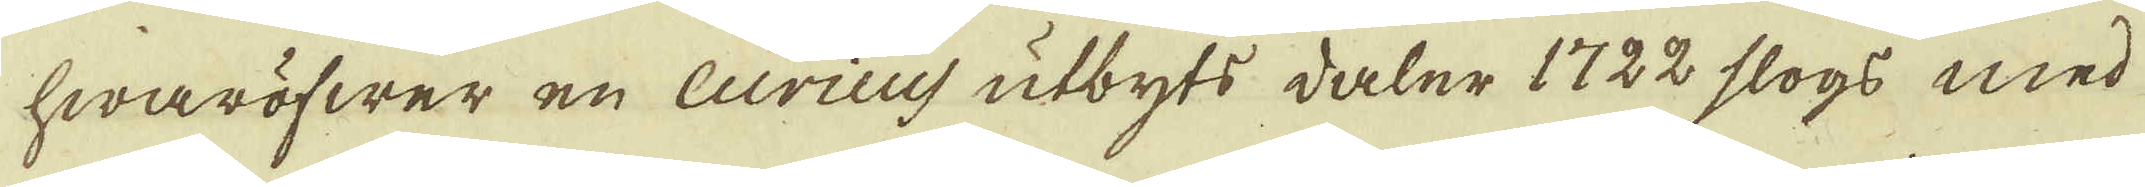hwaröfwer en Curicus utbyts daler 1722 slogs med
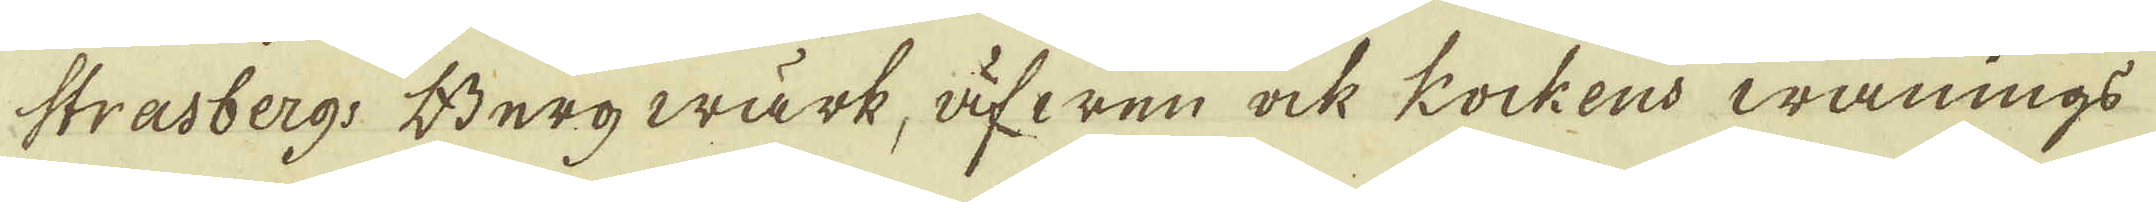Strasbergs Bergwärk, äfwen ock kockens wånings
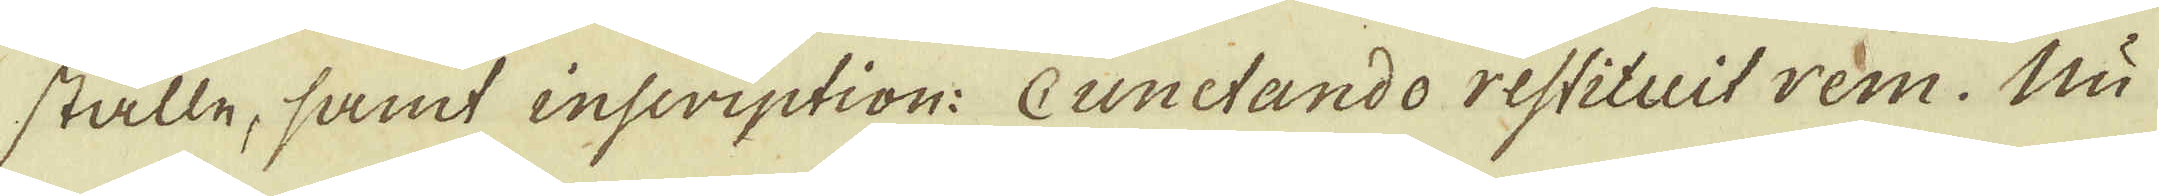ställe, samt inscription: Cunctando restituit rem. Nu
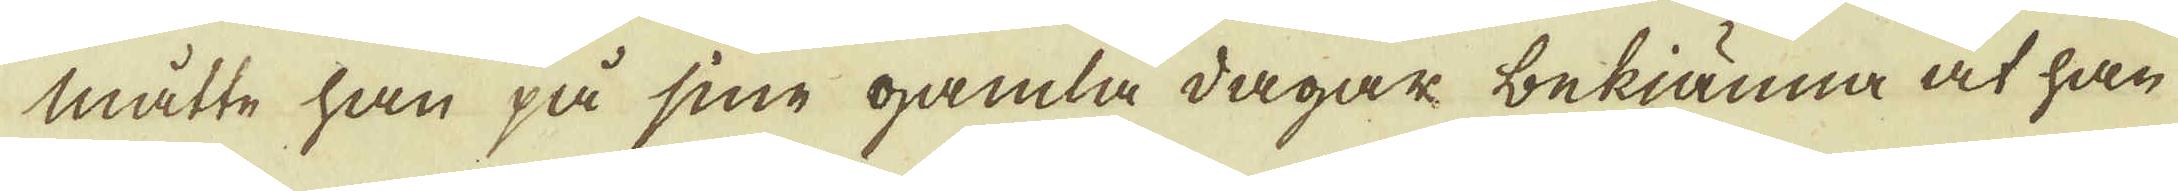måtte han på sine gamla dagar bekiänna at han
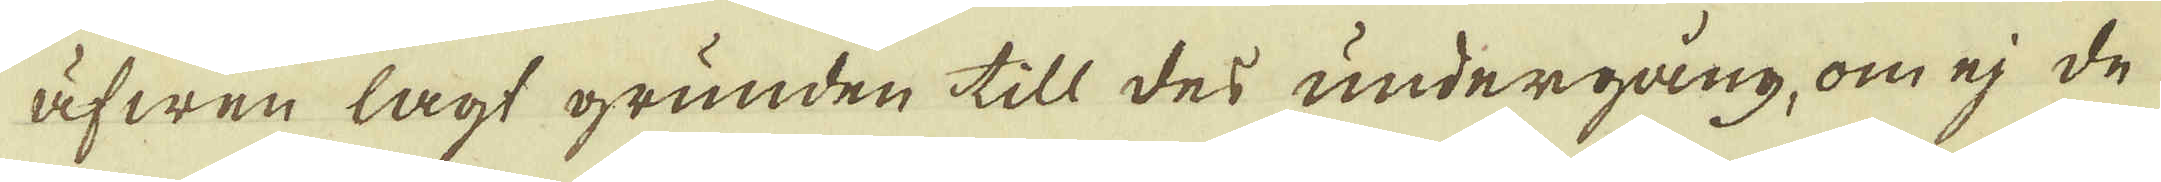äfwen lagt grunden till des undergång, om ej de
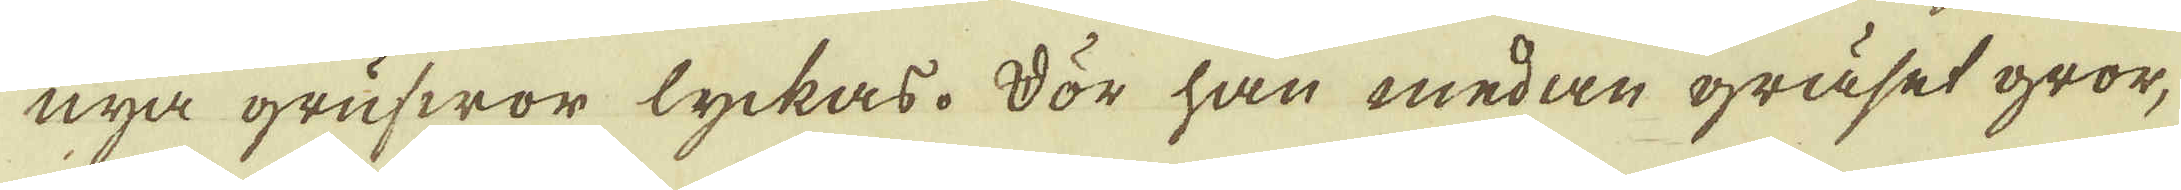nya grufwor lyckas. Dör han medan gräset gror,
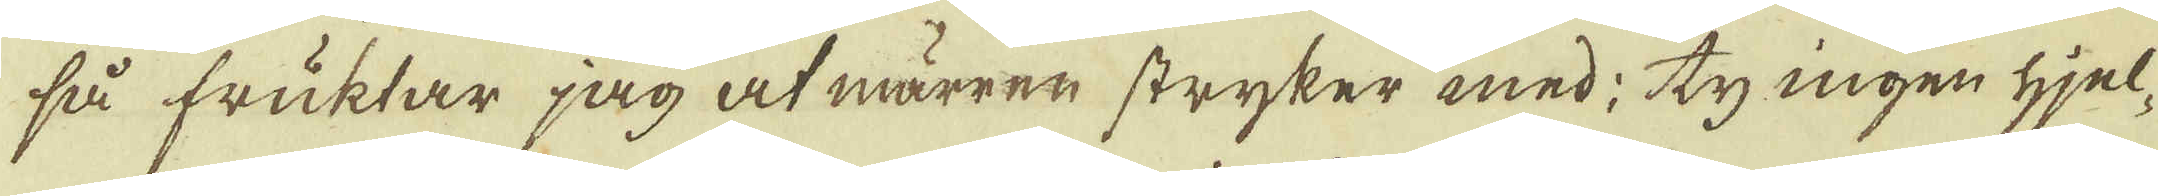så fruktar jag at märren stryker med; ty ingen hjel-
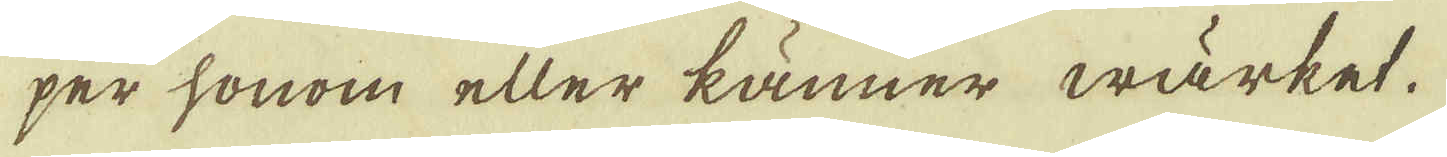per honom eller känner wärket.
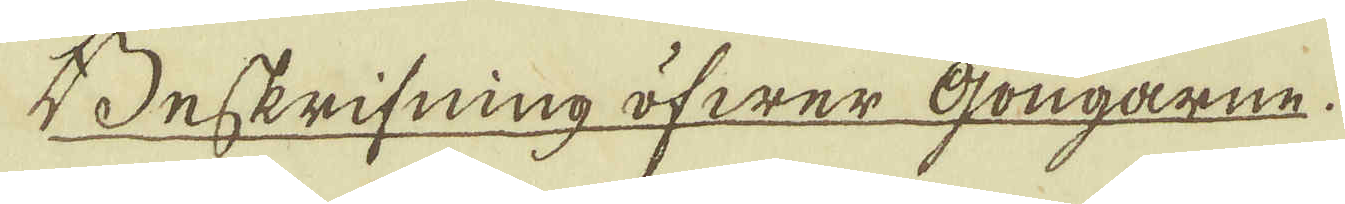Beskrifning öfwer Gongarne.
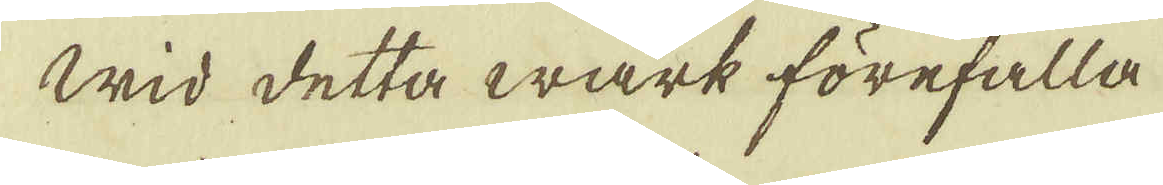Wid detta wärk förefalla
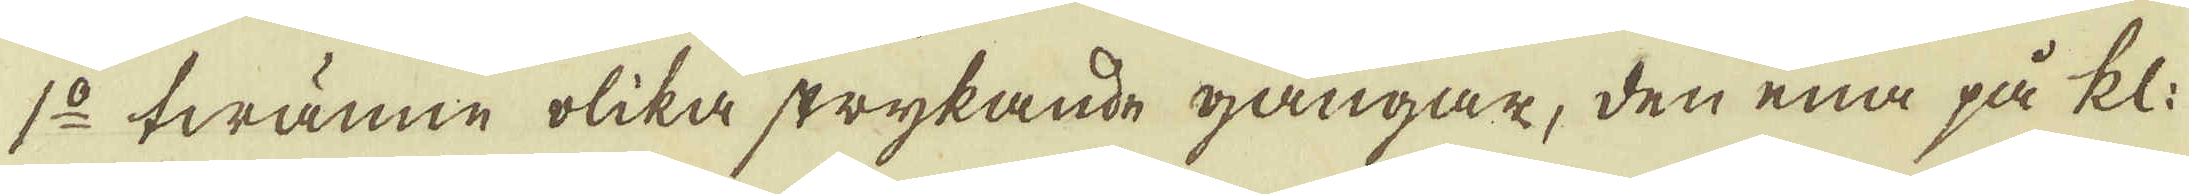1:o twänne olika strykande gångar, den ena på kl:
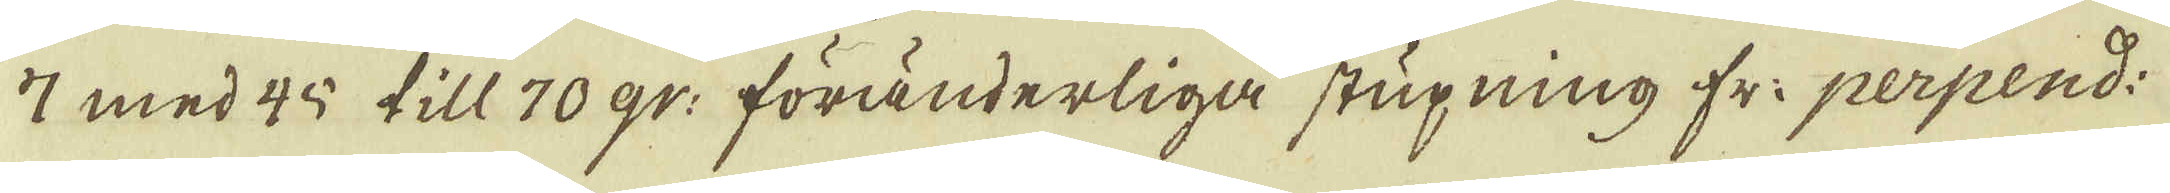17 med 45 till 70 gr: föränderliga stupning fr: perpend:
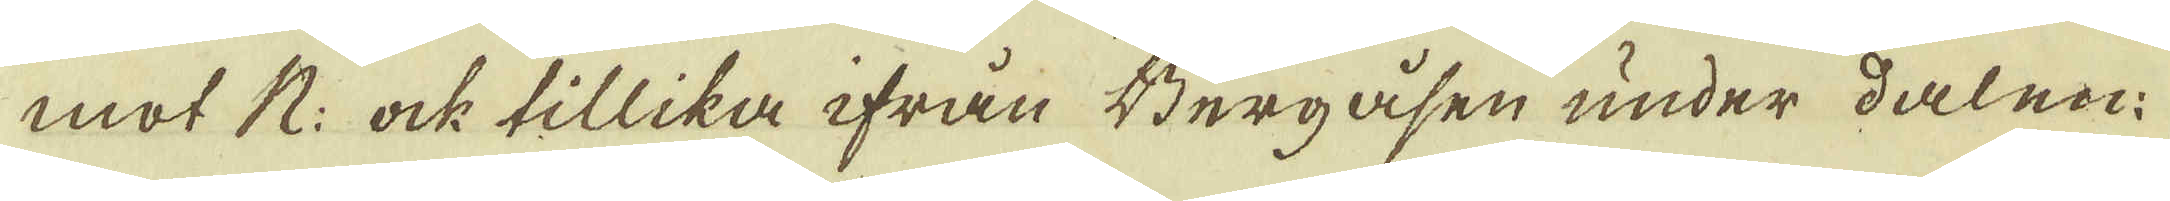mot N: ock tillika ifrån Bergåsen under dalen:
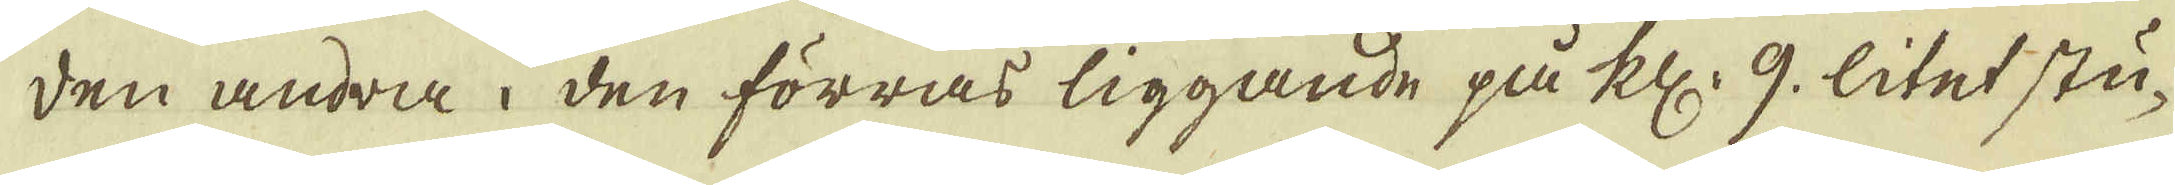den andra i den förras liggande på kl. 9. litet stu-
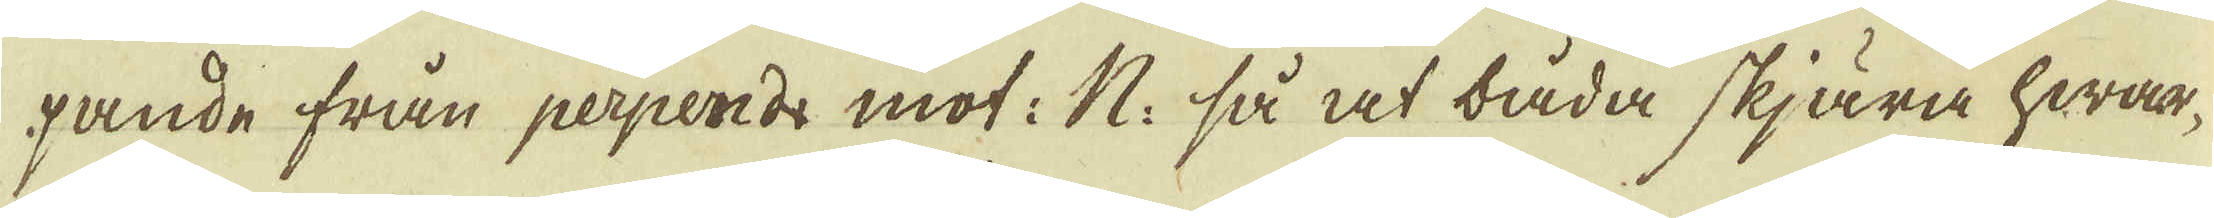pande från perpend: mot: N: så at båda skjära hwar-
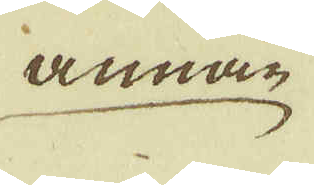annan
